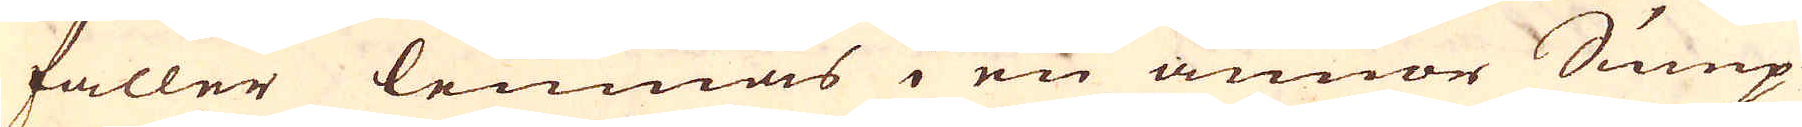faller lemnas i en annor Sump
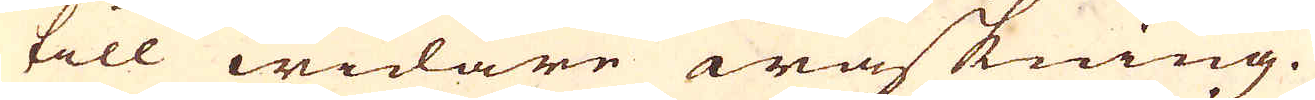till widare waskning.
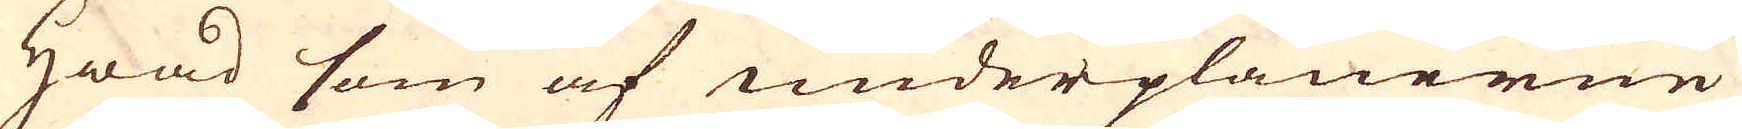Hwad som af underplanerne
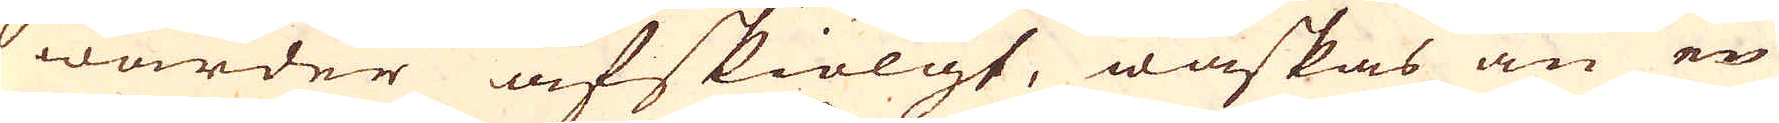warder afskiölgt, waskas än en
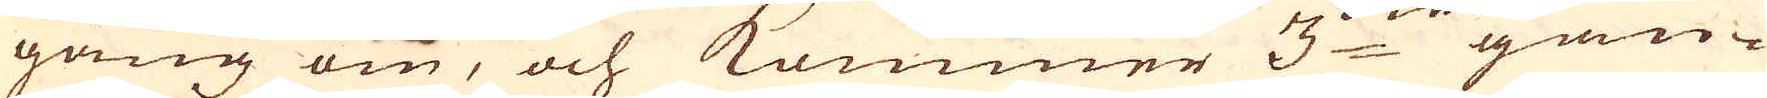gång om, och kommer 3:die gan-
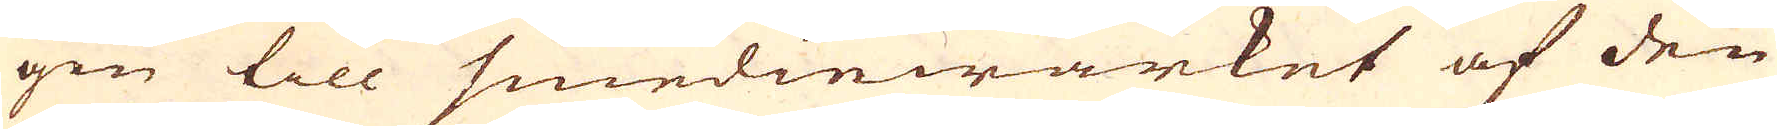gen till smediewärket af den
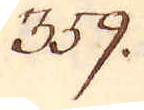359.
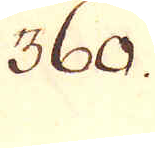360.
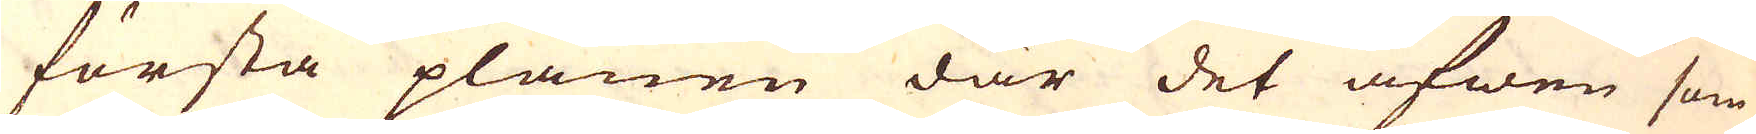första planen där det äfwen som
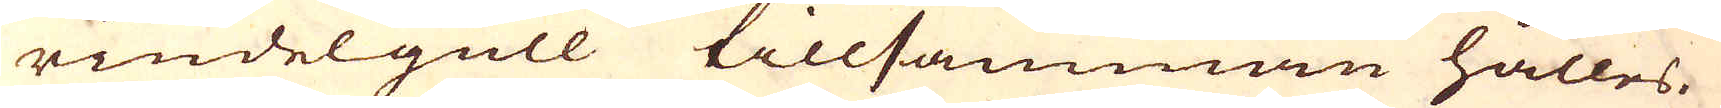rindelgull tillsamman hålles.
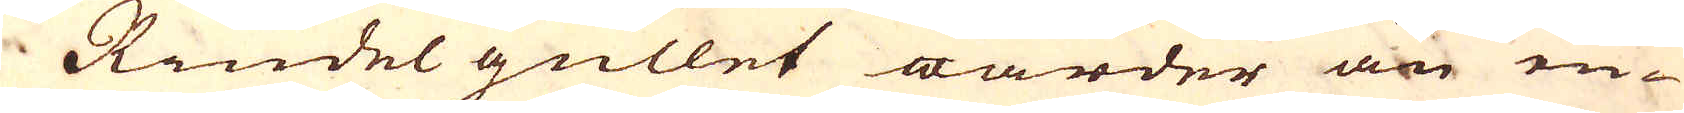Rindel gullet warder än en
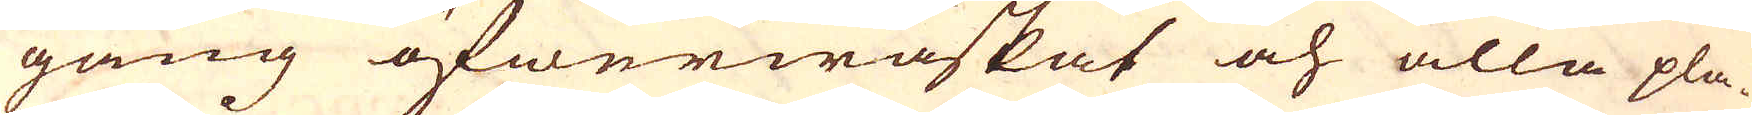gång öfwerwaskat och alla pla-
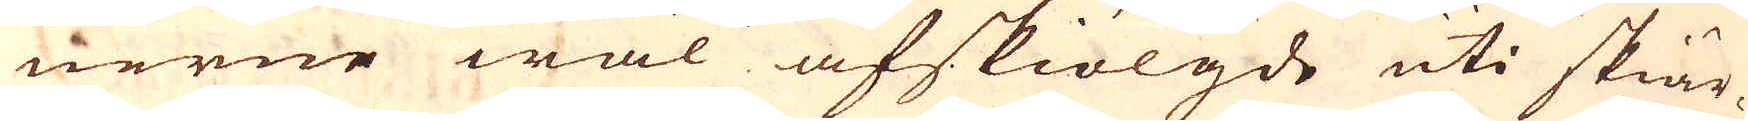nerne wäl afskiölgde uti skiär-
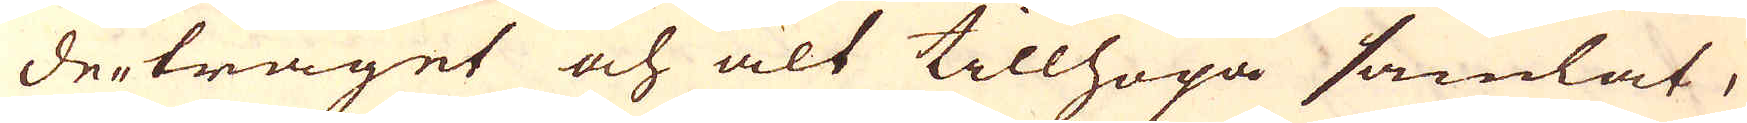de-tråget och alt tillhopa samlat,
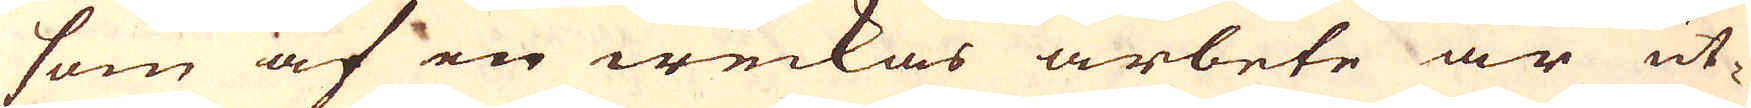som af en weckas arbete är ut-
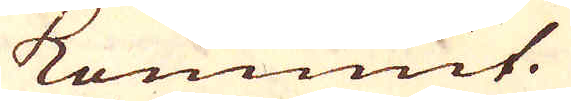kommit.
